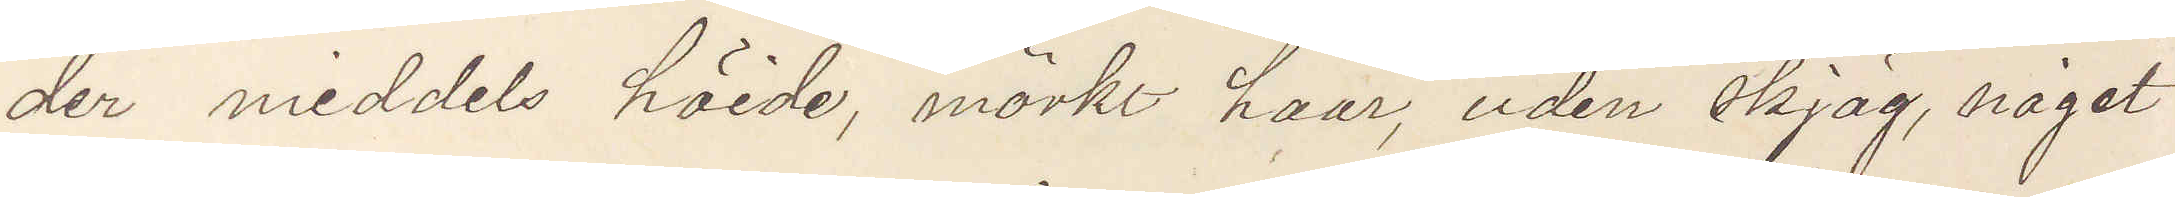der meddels höide, mörkt haar, uden skjäg, något
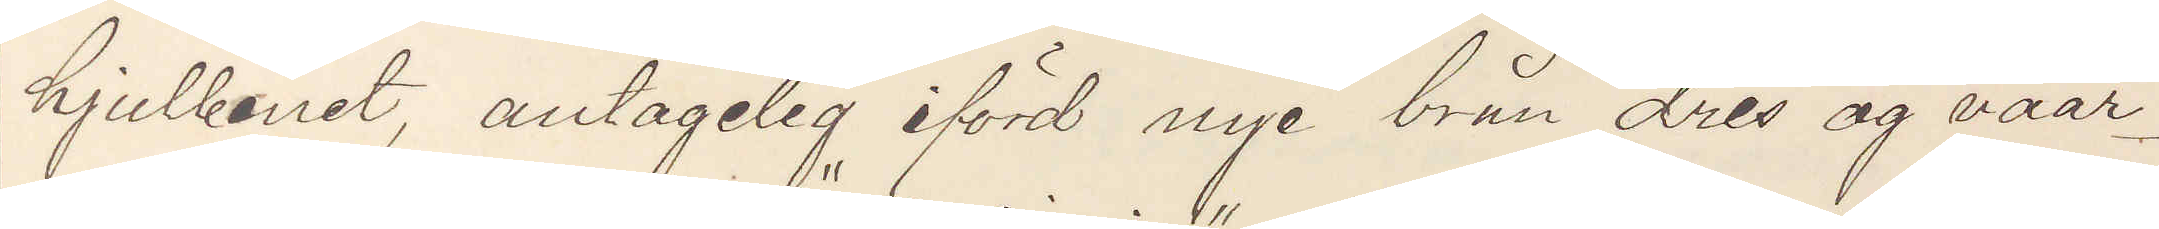hjulbenet, antagelig iförd nye brun dres og vaar¬
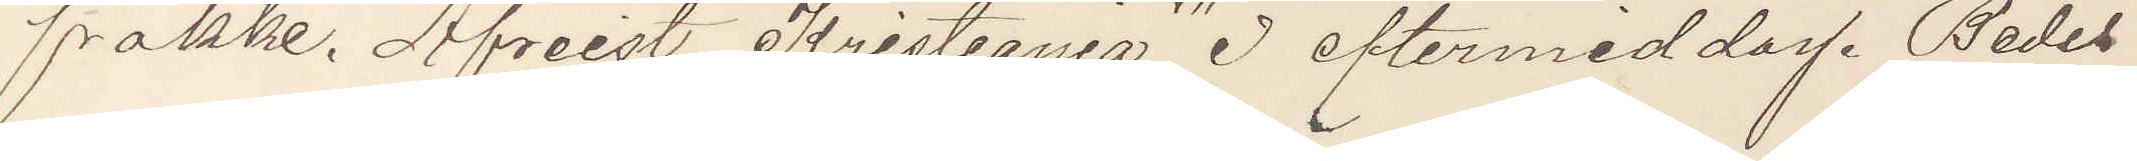frakke. Afreist Kristiania 3 eftermiddag. Bedes
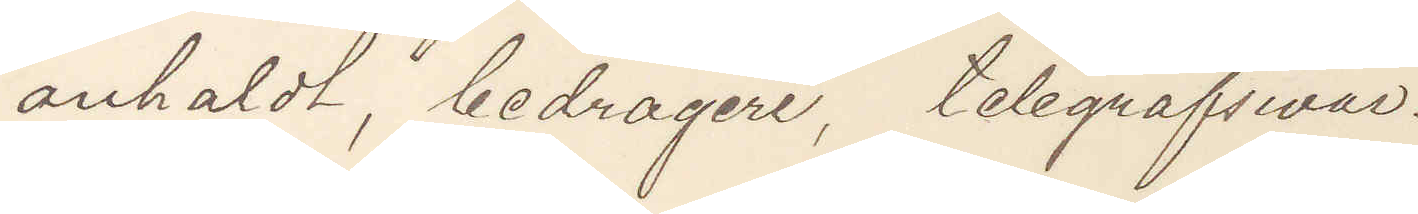anholdt, bedragere, telegrafsivar.
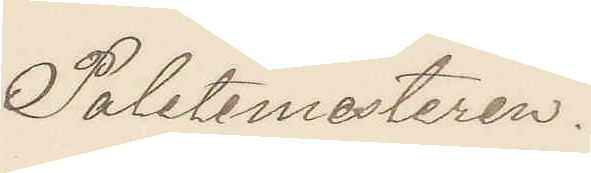Poletimesteren.
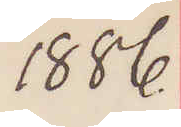1886.
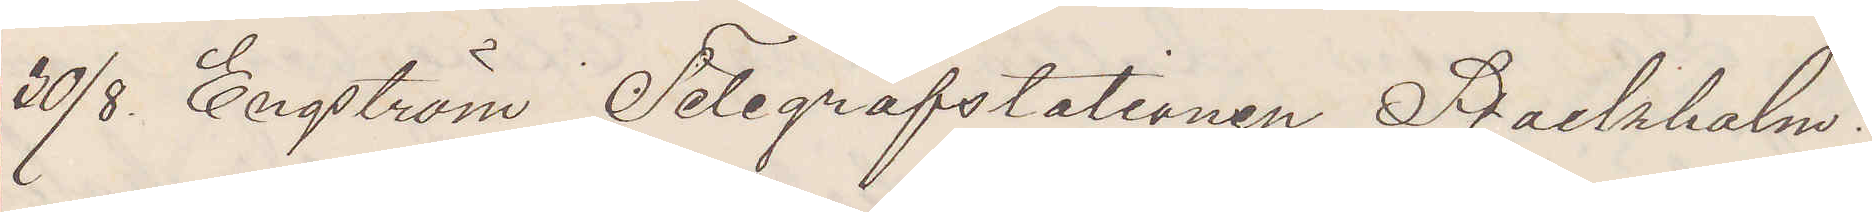30/8. Engström Telegrafstationen Stockholm.
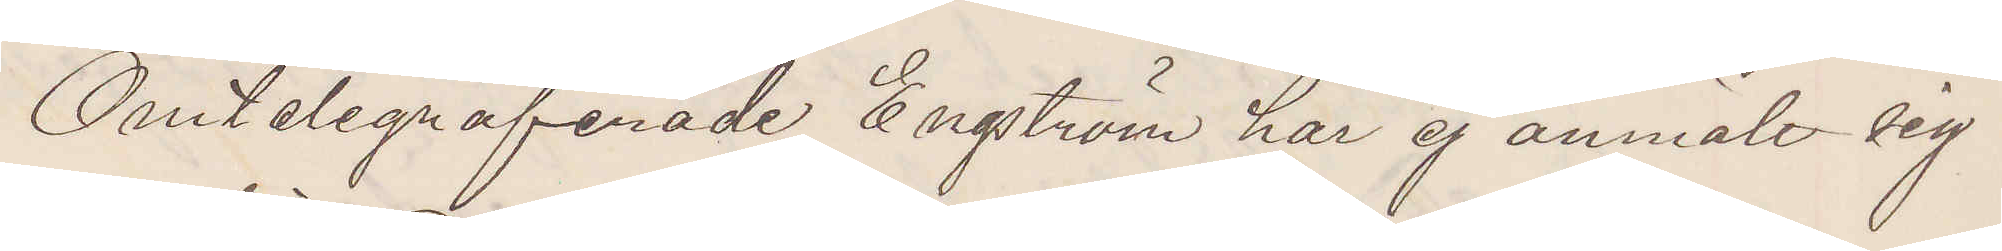Omtelegraferade Engström har ej anmält sig
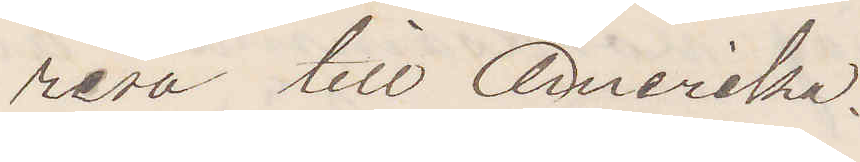resa till Amerika.
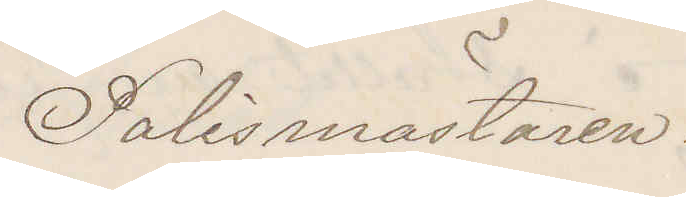Polismästaren.
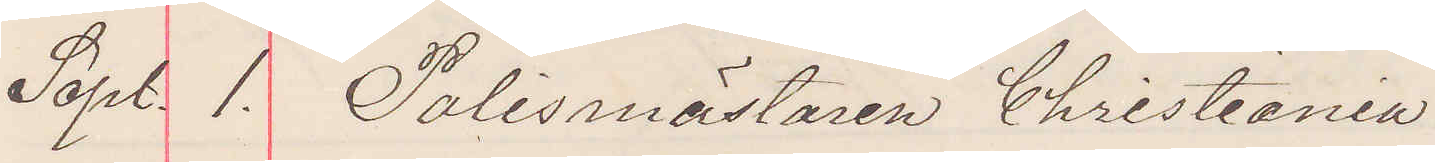Sept. 1. Polismästaren Christiania
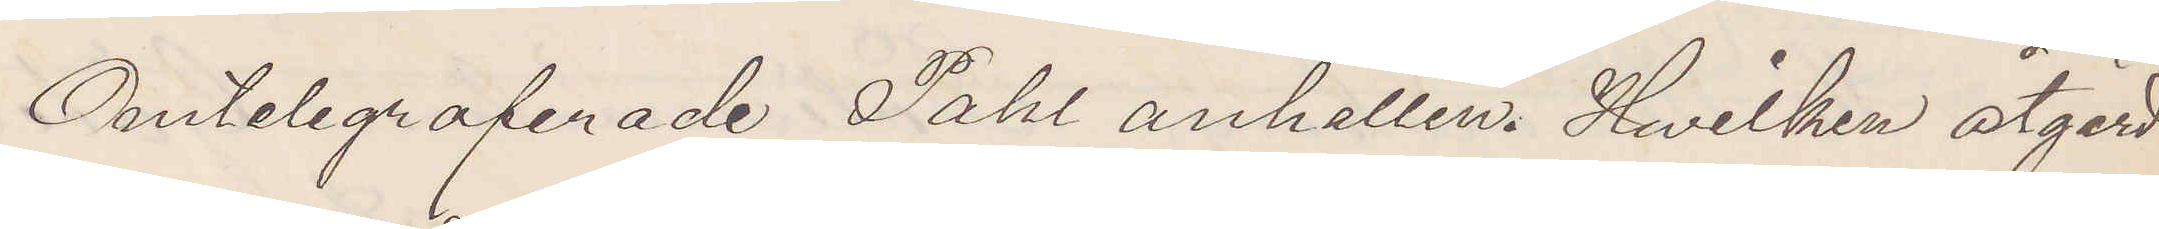Omtelegraferade Pahl anhållen, Hvilken åtgerd
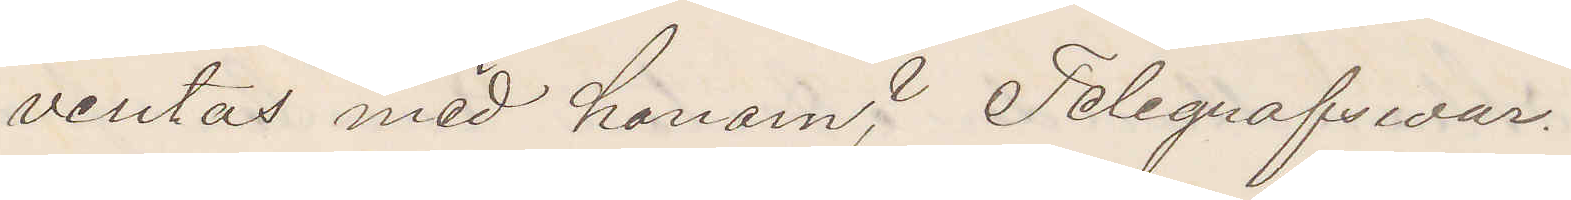ventas med honom? Tegrafsvar.
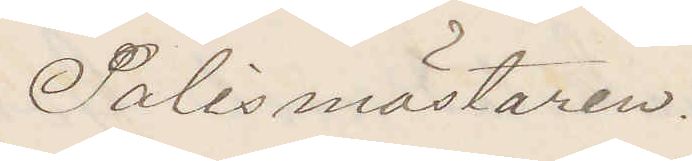Polismästaren.
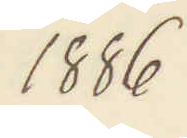1886
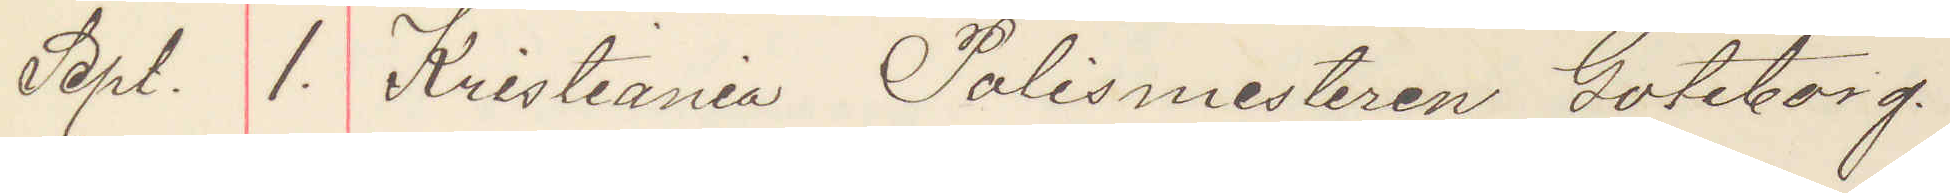Sept. 1. Kristiania Polismesteren Göteborg.
